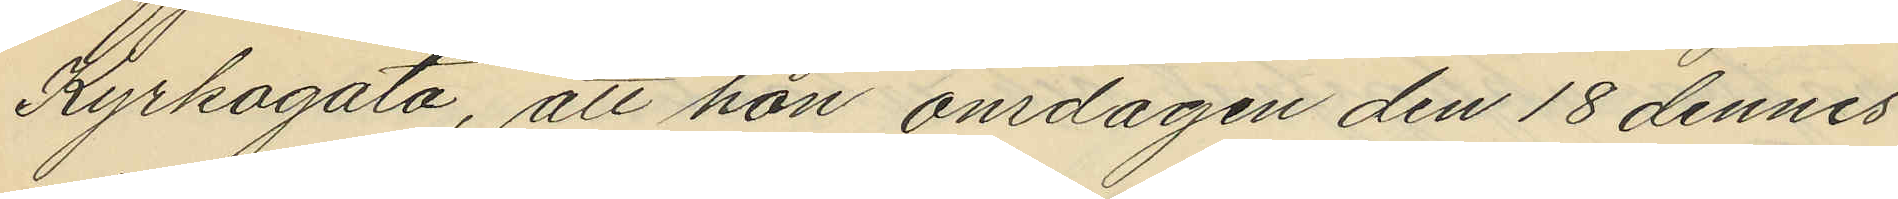Kyrkogata, att hon onsdagen den 18 dennes
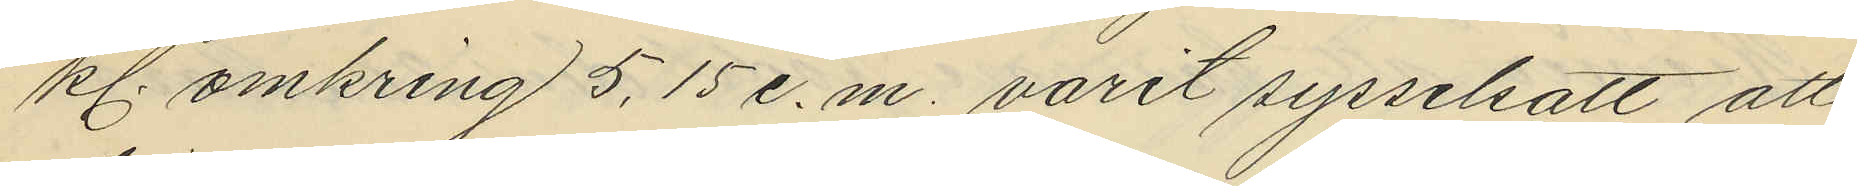kl. omkring 5,15 e.m. varit sysselsatt att
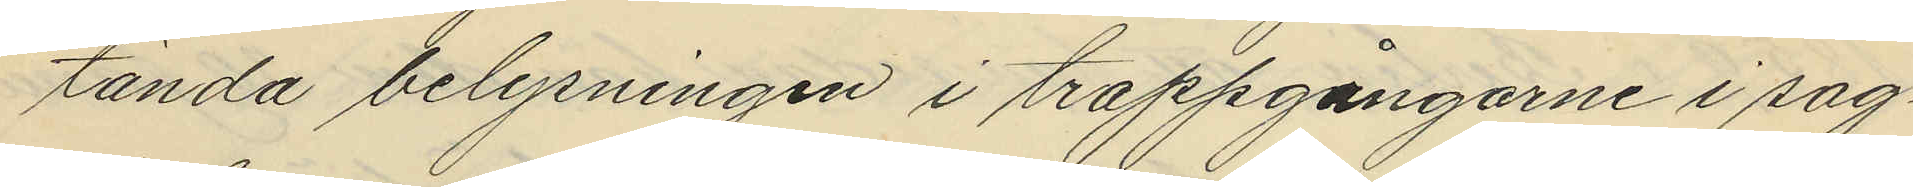tända belysningen i trappgångarne i sag¬
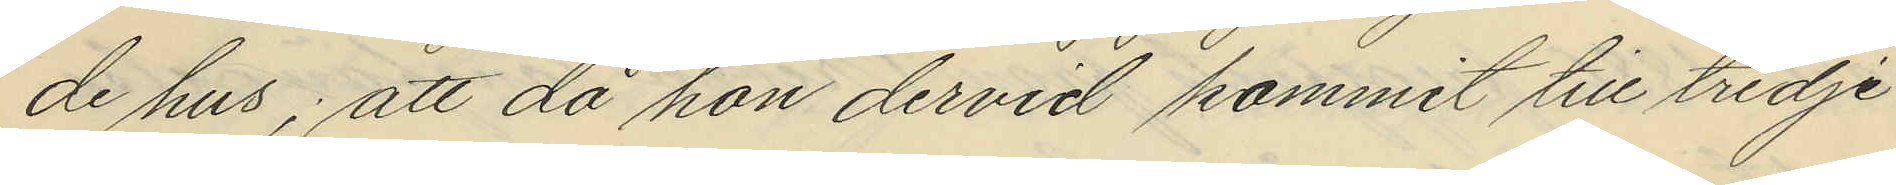de hus; att då hon dervid kommit till tredje
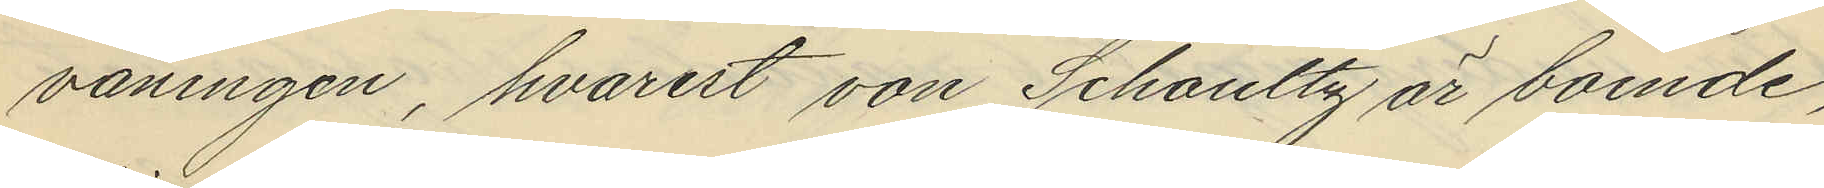våningen, hvarest von Schoultz är boende,
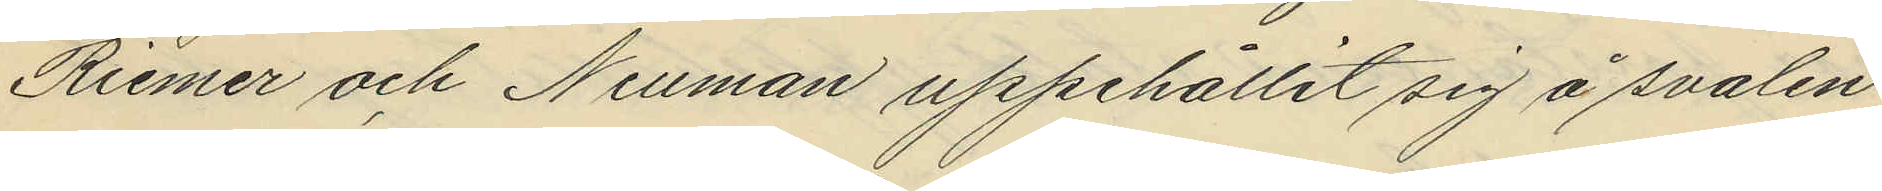Riemer och Neuman uppehållit sig å svalen
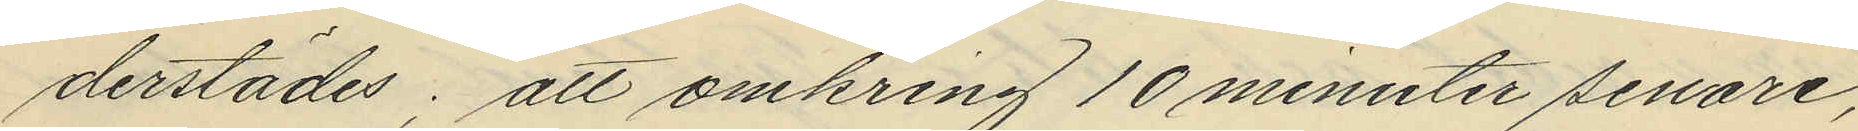derstädes; att omkring 10 minuter senare,
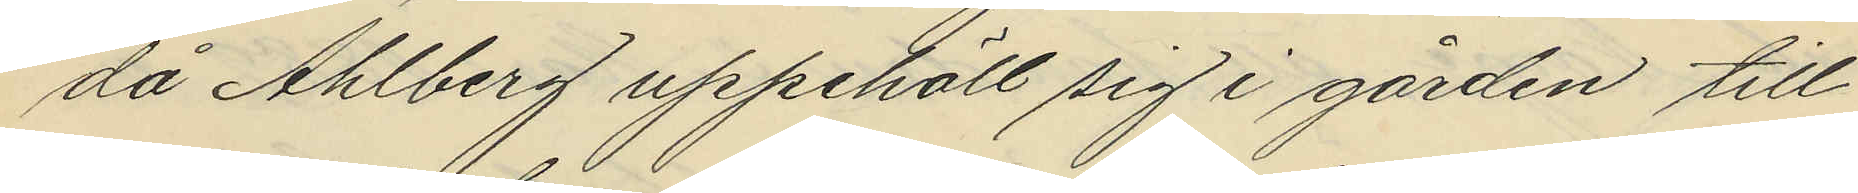då Ahlberg uppehöll sig i gården till
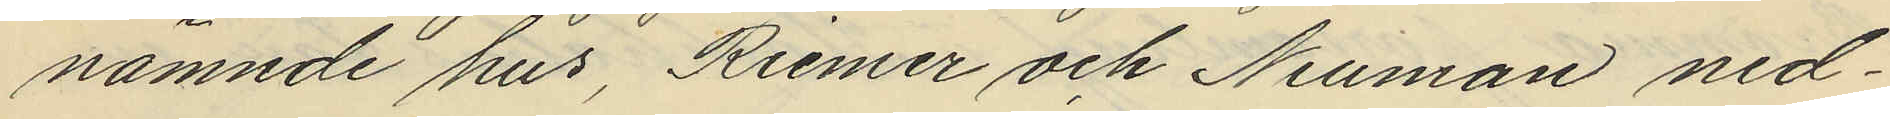nämnde hus, Riemer och Nellman ned¬
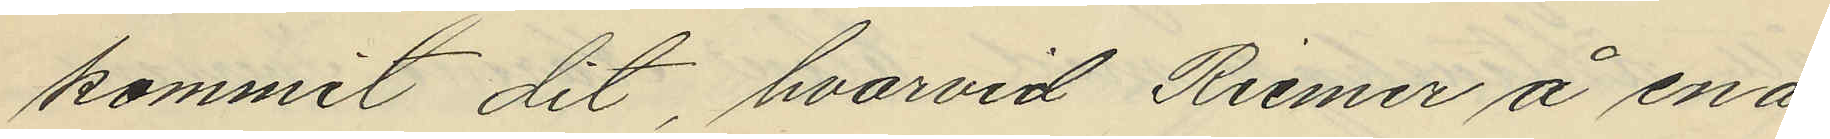kommit dit, hvarvid Riemer å ena
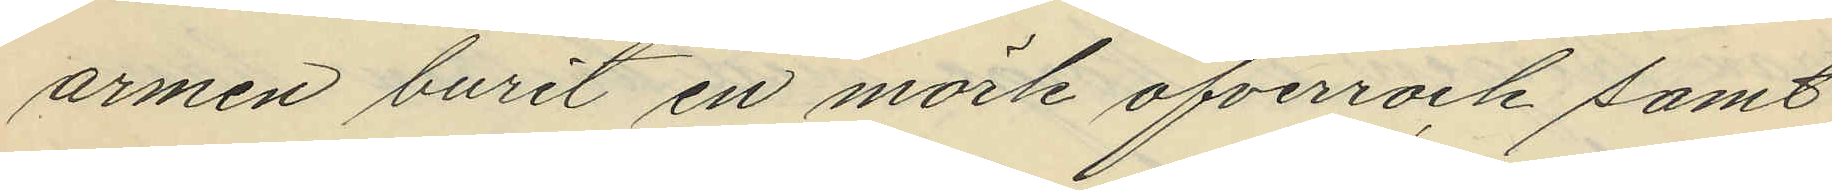armen burit en mörk öfverrock samt
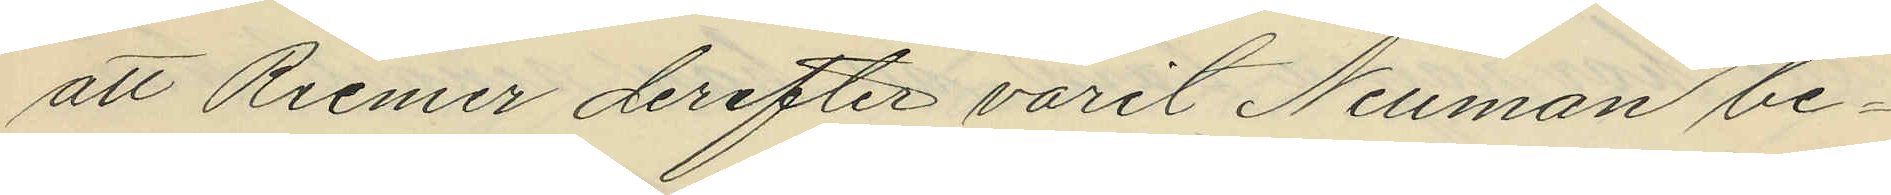att Riemer derefter varit Neuman be¬
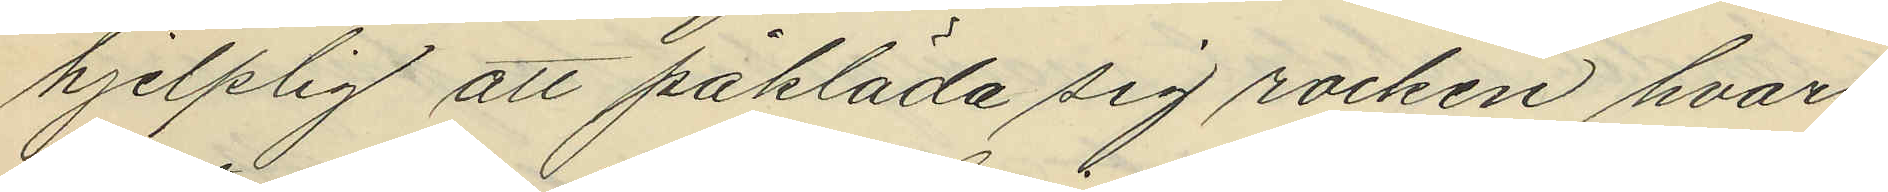hjelplig att påkläda sig rocken hvar¬
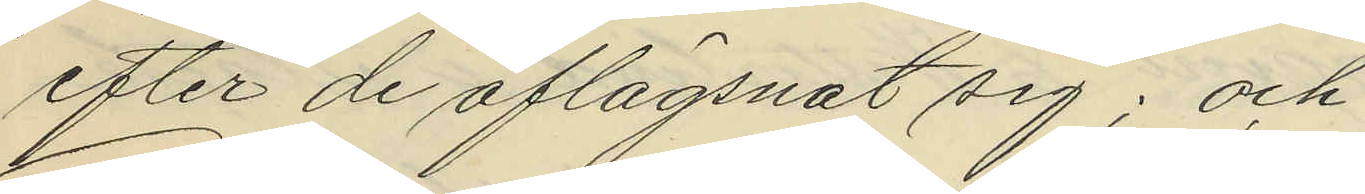efter de aflägsnat sig; och
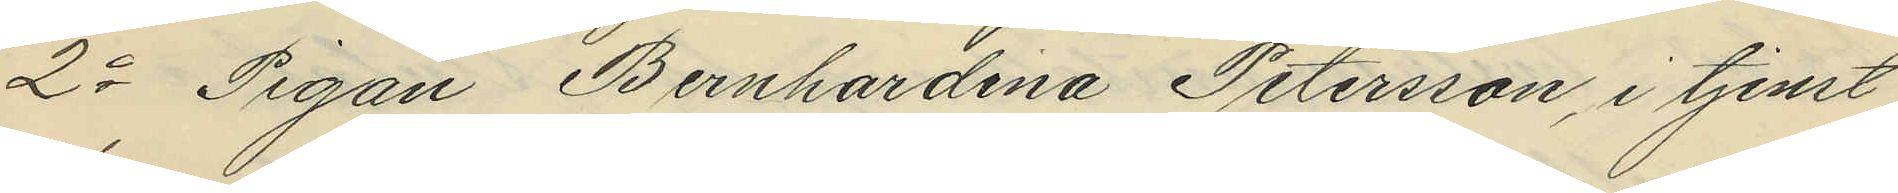2o Pigan Bernhardina Petersson, i tjenst
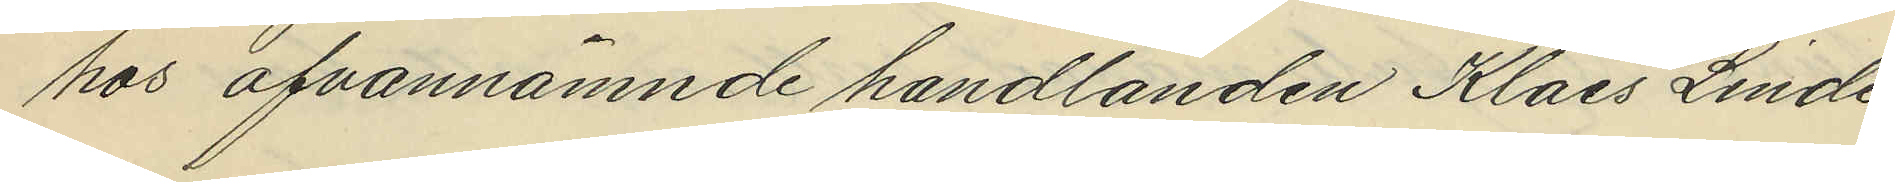hos ofvannämnde handlanden Klaes Linde¬
